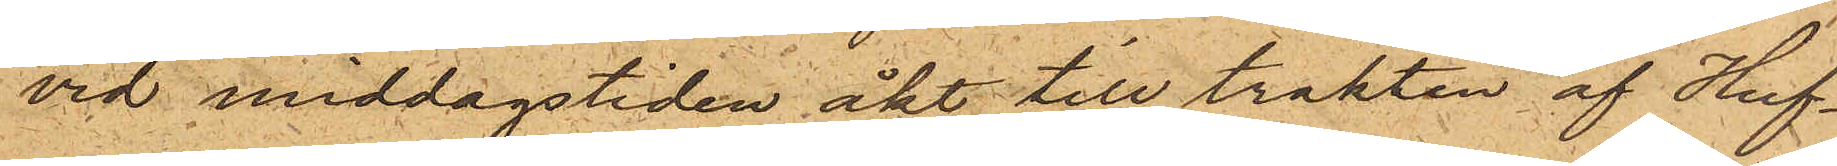vid middagstiden åkt till trakten af Huf¬
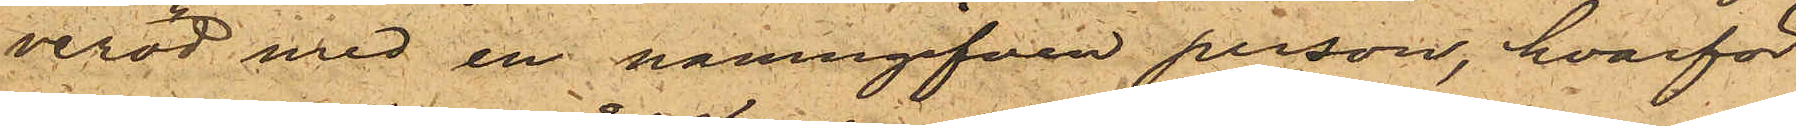veröd med en namngifven person, hvarför
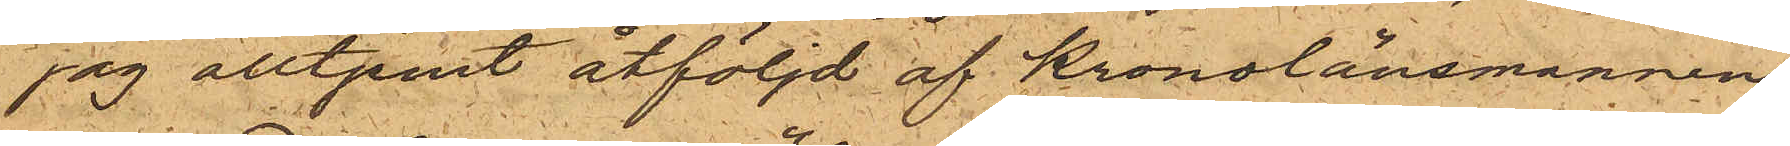jag alltjemt åtföljd af Kronolänsmannen
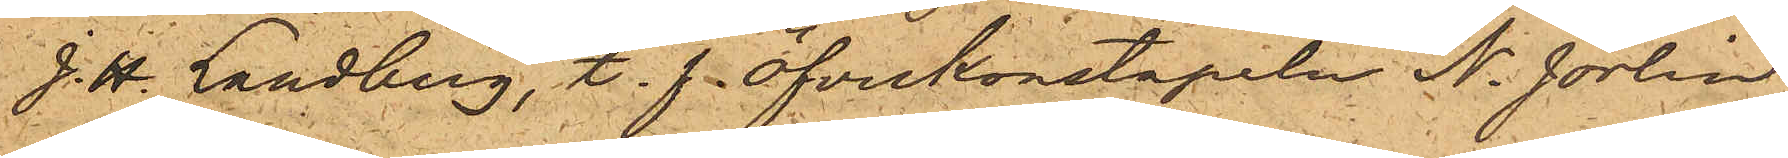J. H. Landberg, t. f. öfverkonstapeln N. Jörlin
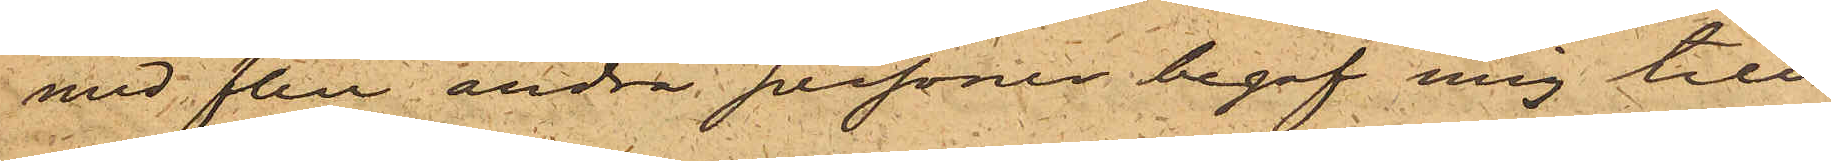med flera andra personen begaf mig till
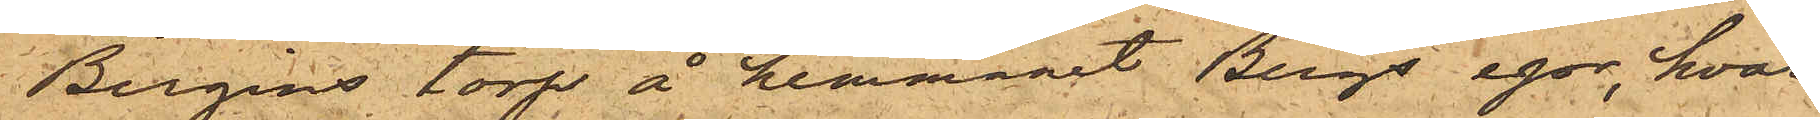Bergins torp å hemmanet Bergs egor, hvar¬
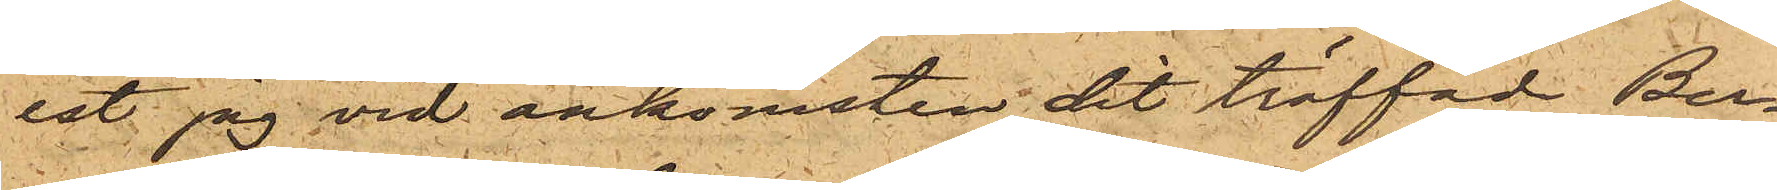est jag vid ankomsten dit träffade Ber¬
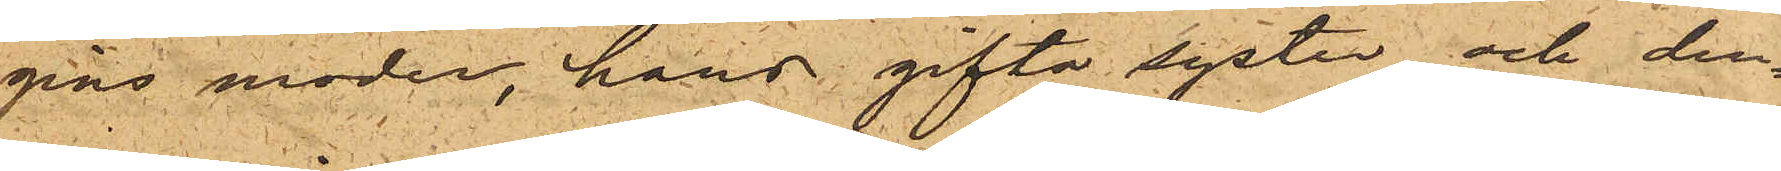gins moder, hans gifta syster och den¬
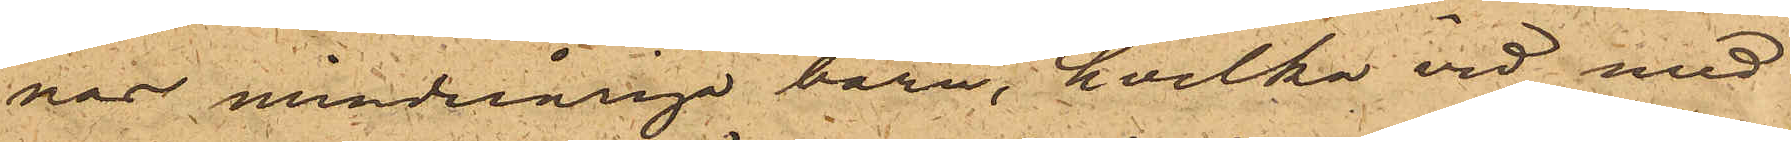nas minderårga barn, hvilka vid med
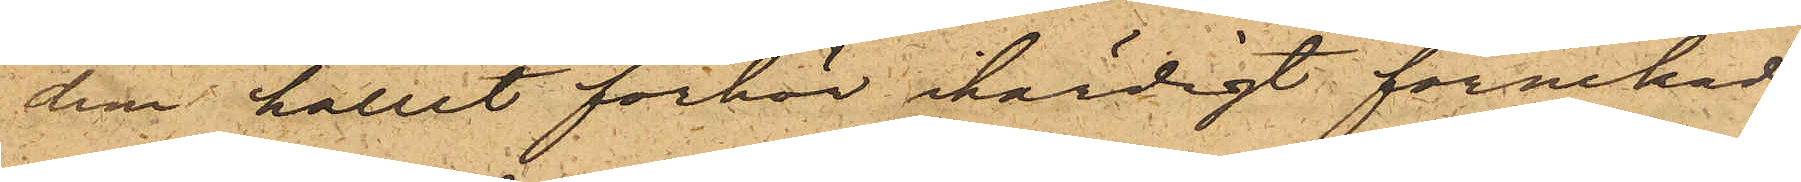dem hållet förhör ihärdigt förnekade
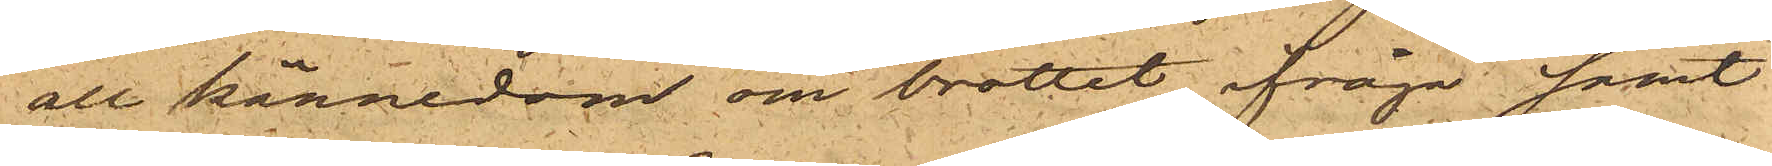all kännedom om brottet ifråga samt
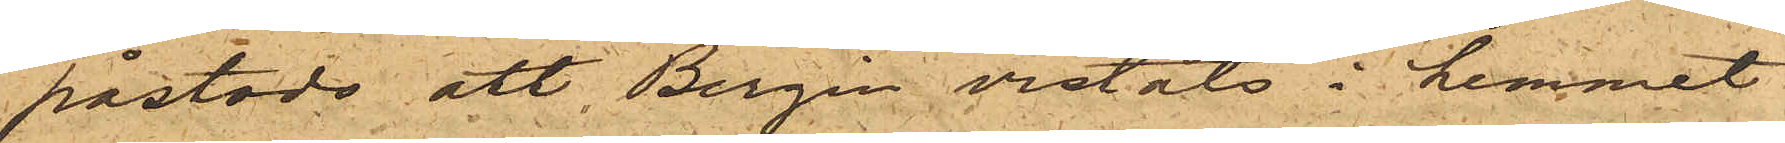påstodo att Bergin vistats i hemmet
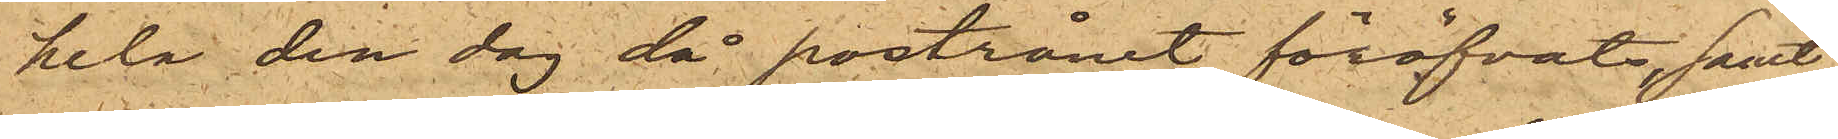hela den dag då postrånet föröfvats samt
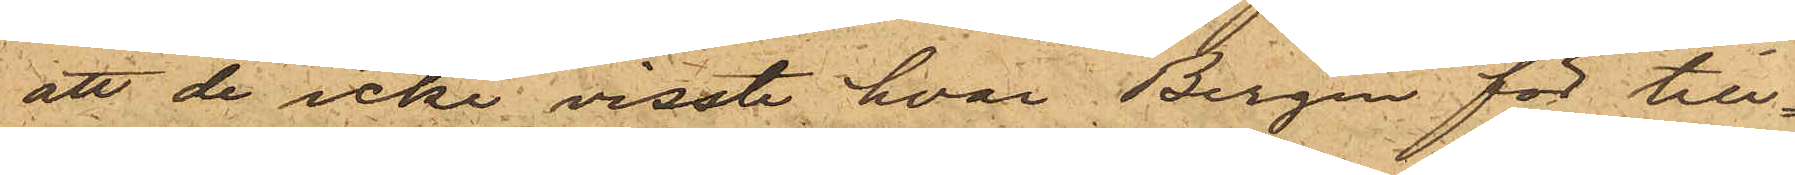att de icke visste, hvar Bergin för till¬
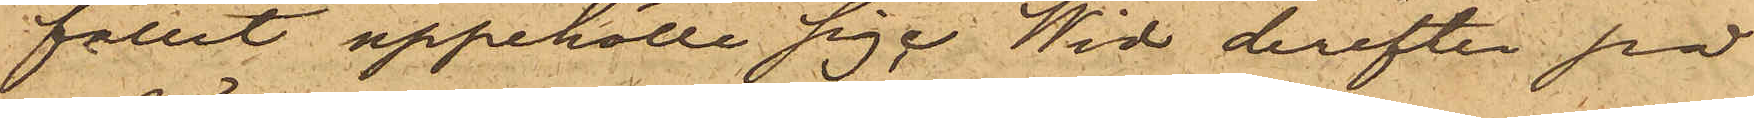fället uppehölle sig. Wid derefter på
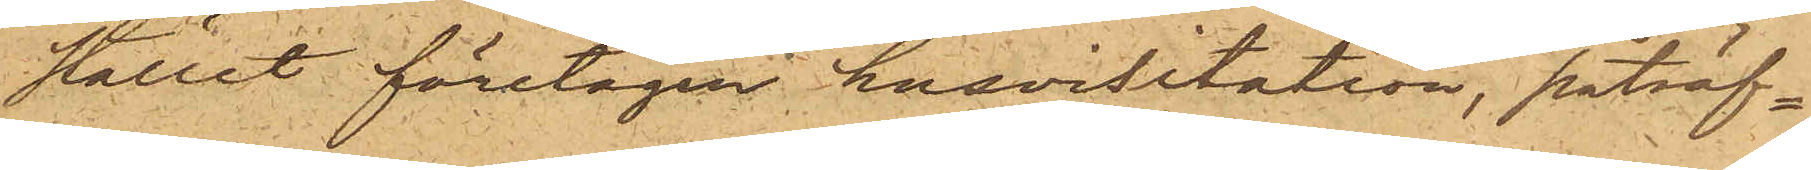stället företagen husvisitation, påträf¬
